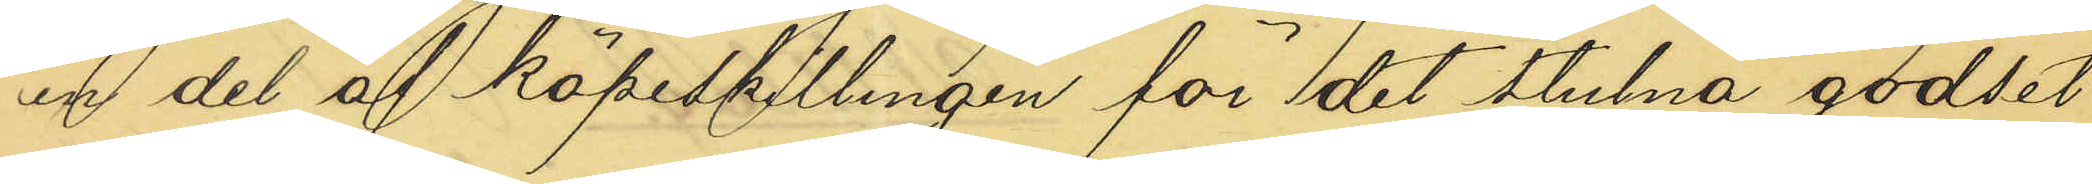en del af köpeskillingen för det stulna godset
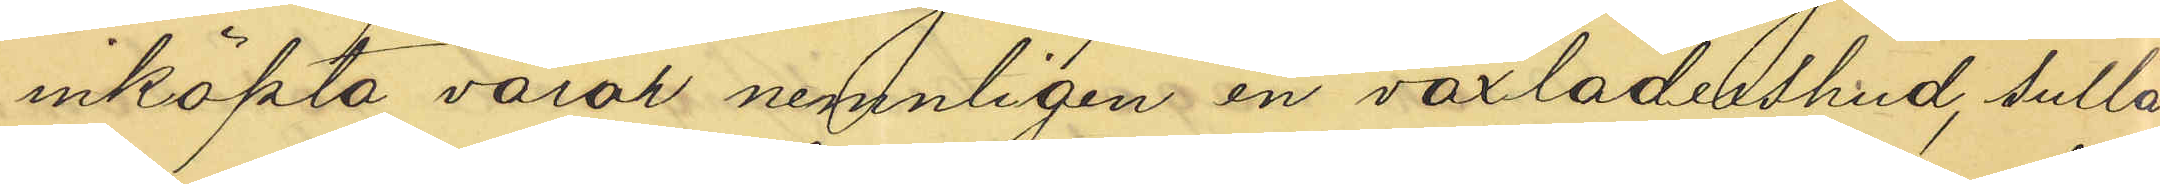inköpta varor nemligen en vaxlädershud, sullä¬
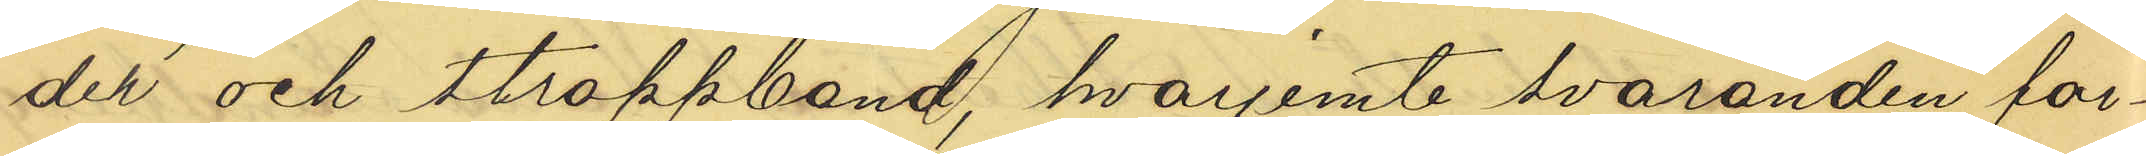der och stroppband, hvarjemte svaranden för¬
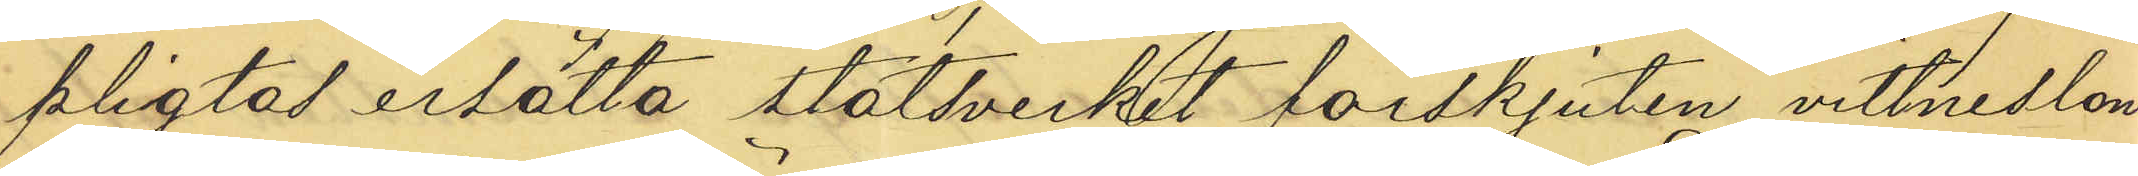pliktad erätta statsverket förskjuten vittneslön
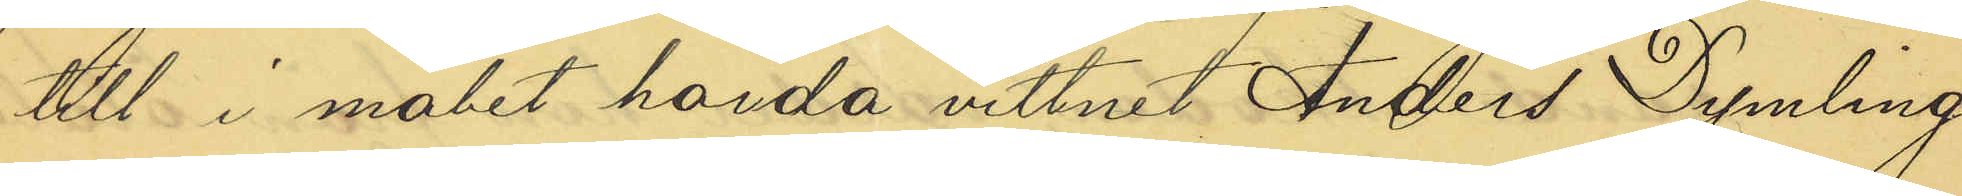till i målet hörda vittnet Anders Dymling.
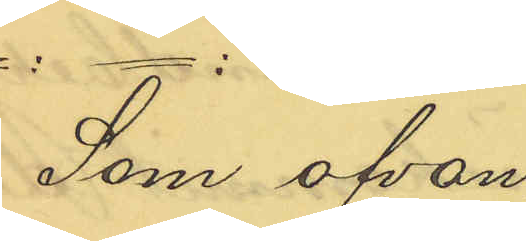Som ofvan.
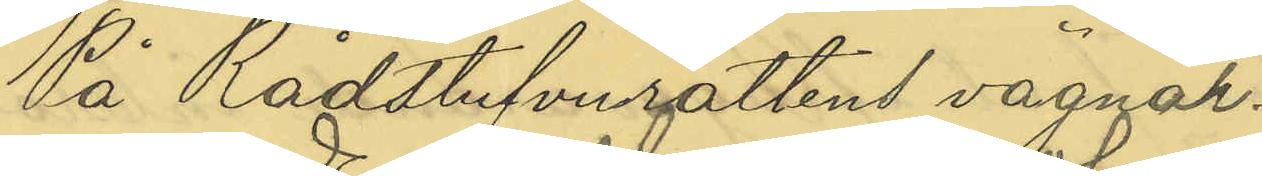På Rådstufvurättens vägnar.
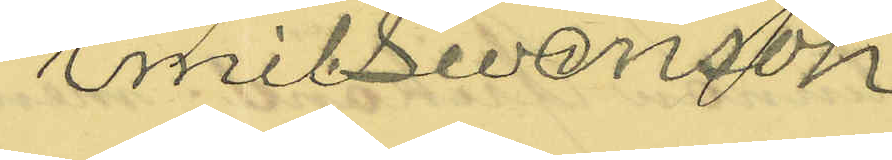Emil Swenson
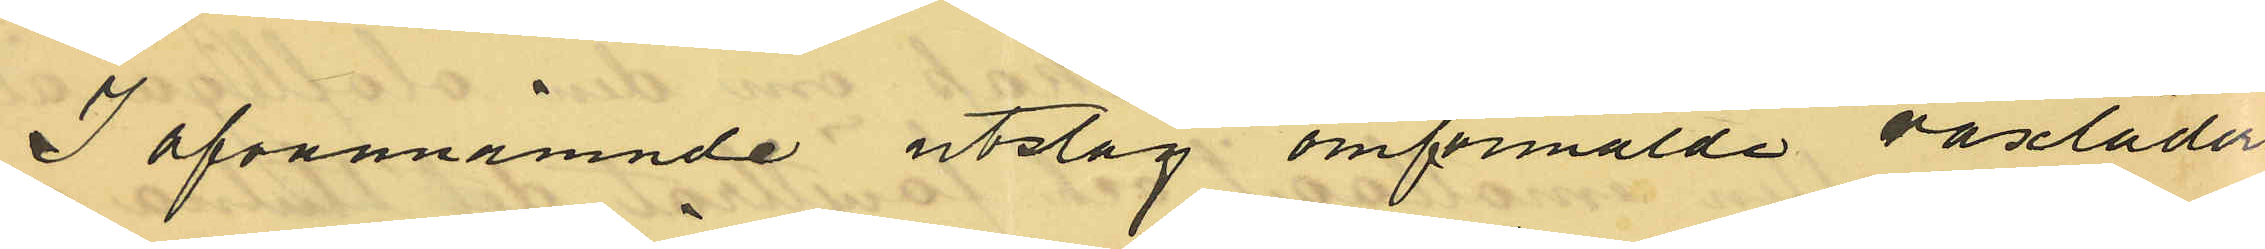I ofvannämnde utslag omförmälde vaxläders¬
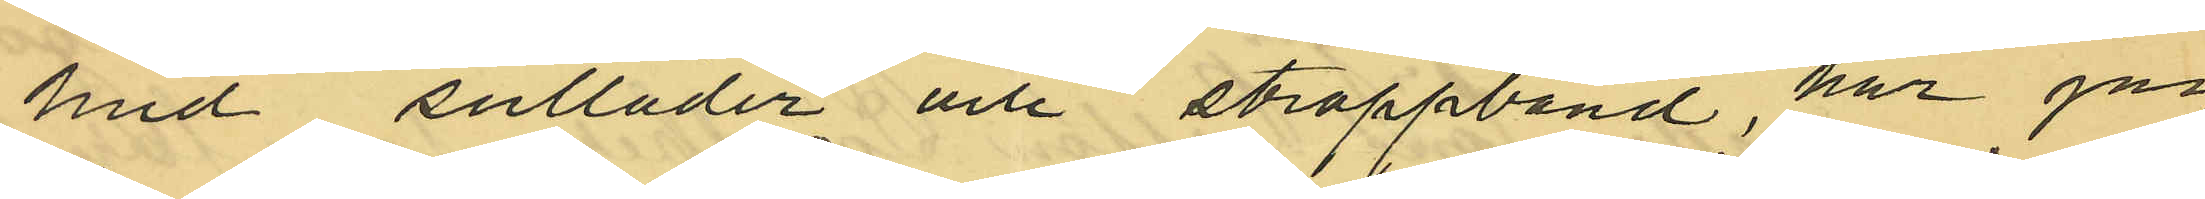hud, sulläder och stroppband, har jag
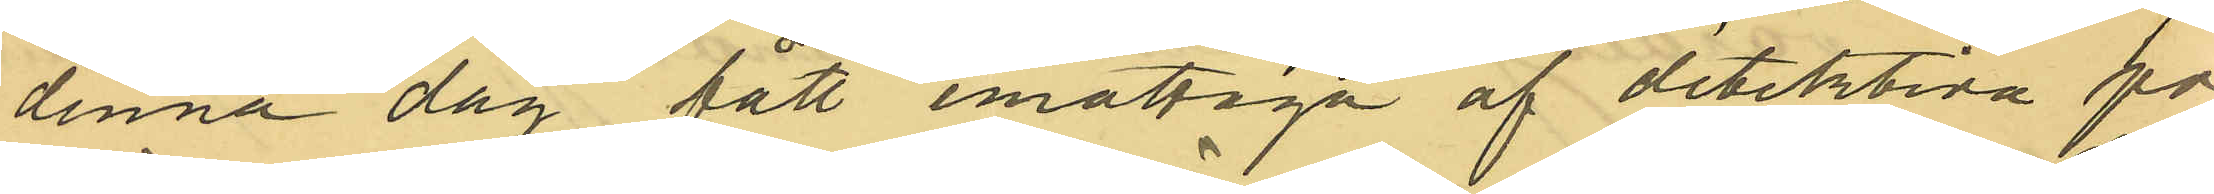denna dag fått mottaga af detektiva po¬
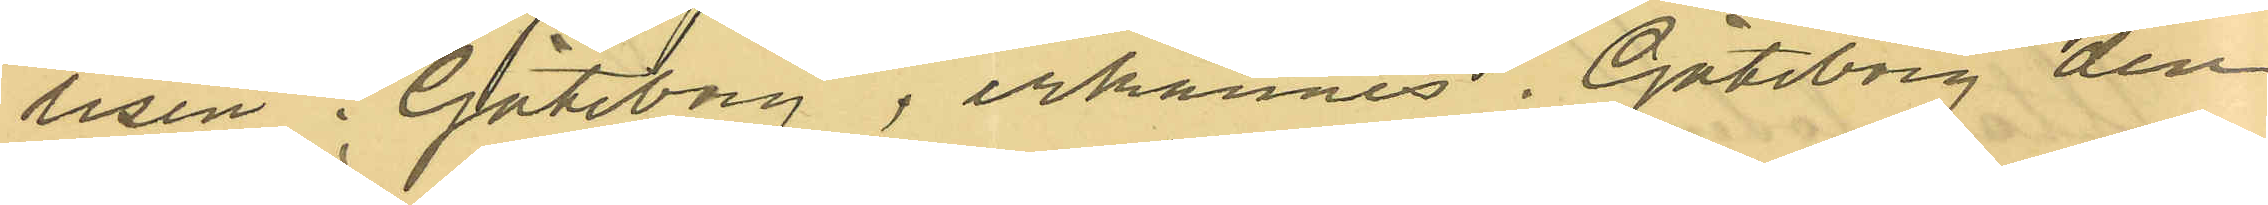lisen i Göteborg, erkännes. Göteborg den
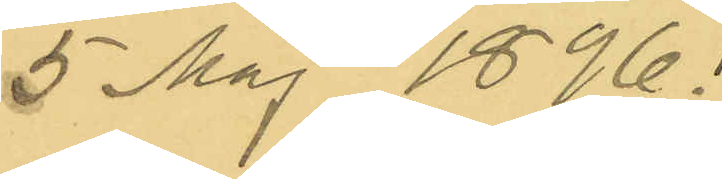5 maj 1896.
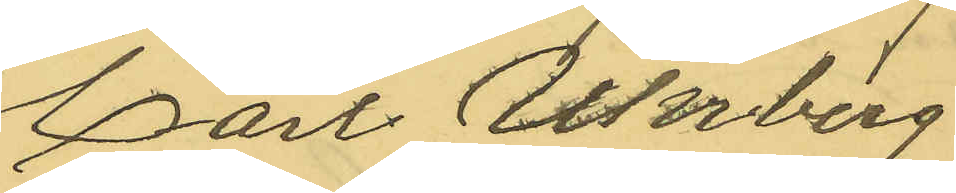Carl Uhrberg
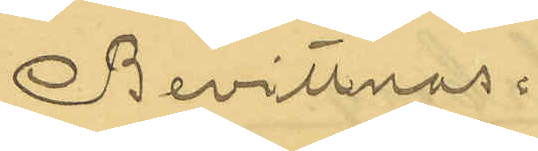Bevittnas.
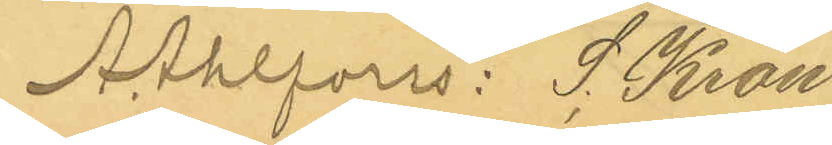A. Ahlfors: S. Kron
